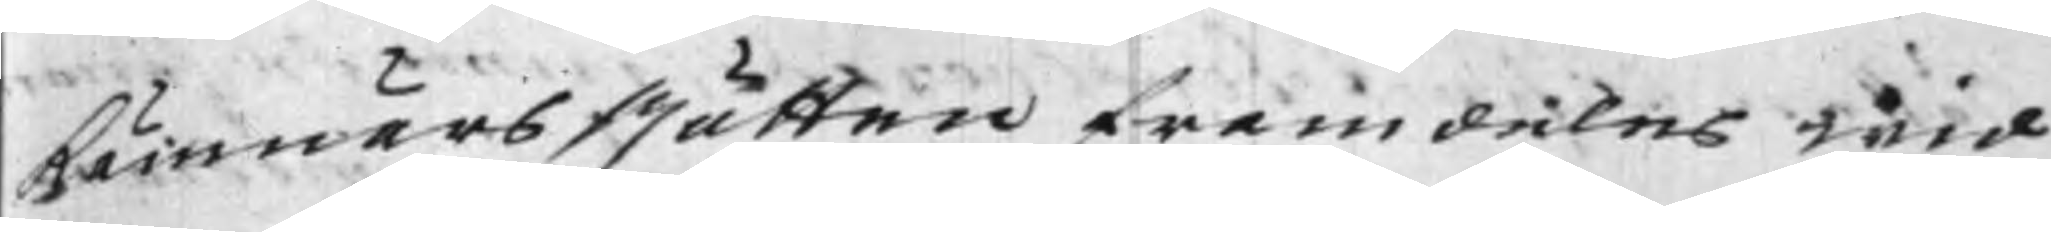Kämnärs Rätten framdeles wid
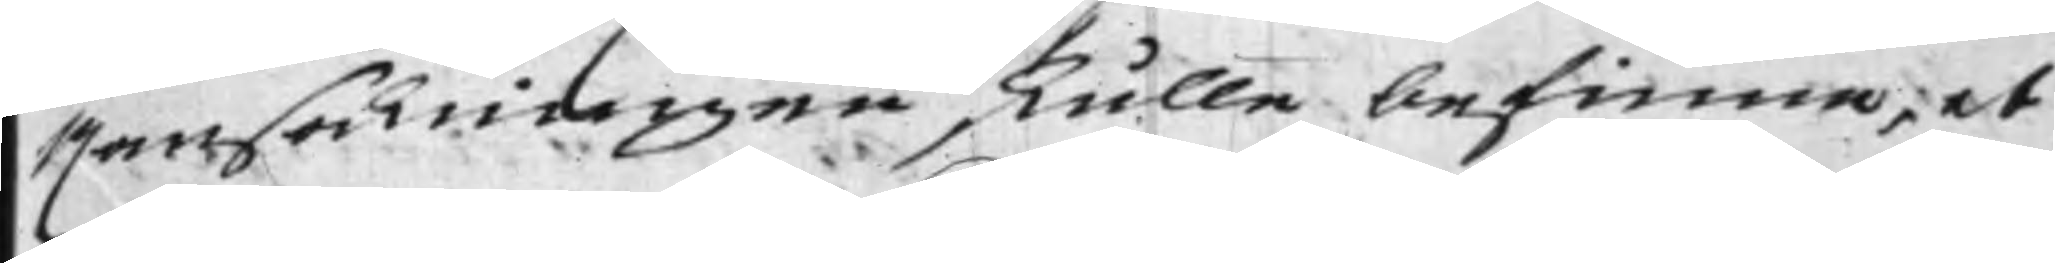Ransakningen skulle befinna, at
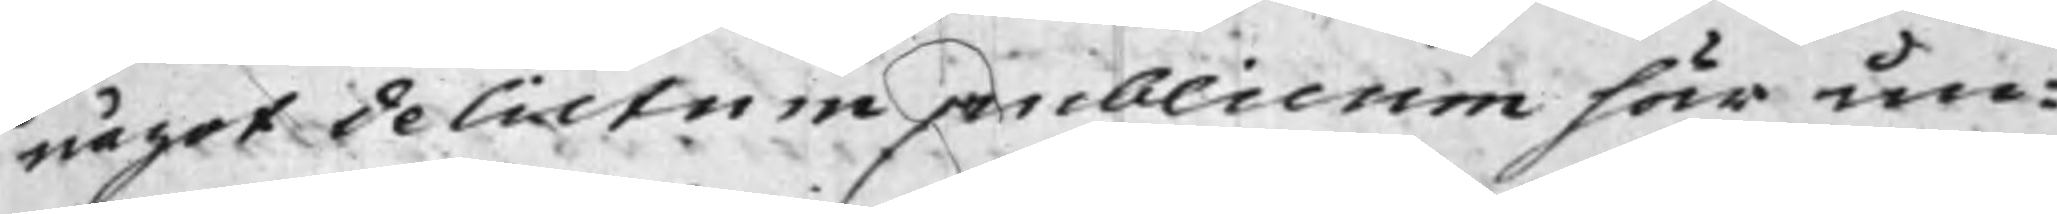något delictum publicum här un¬
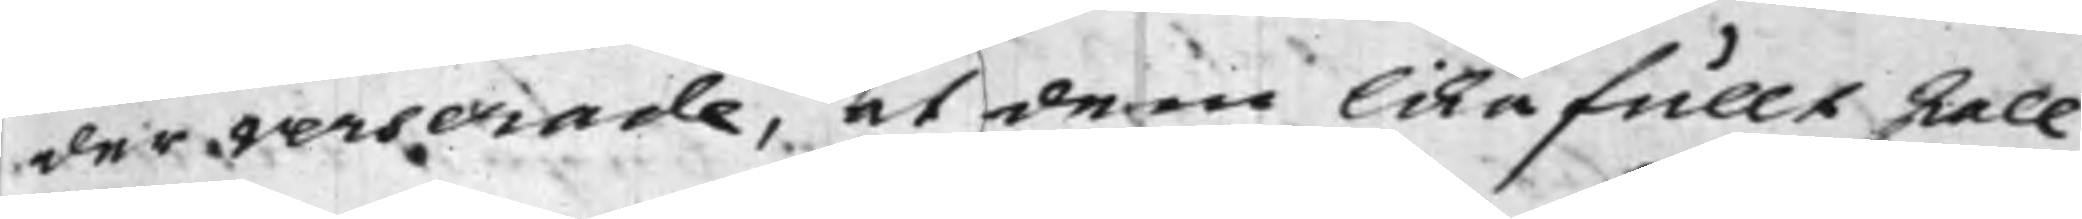der verserade, at dem likafullt skall
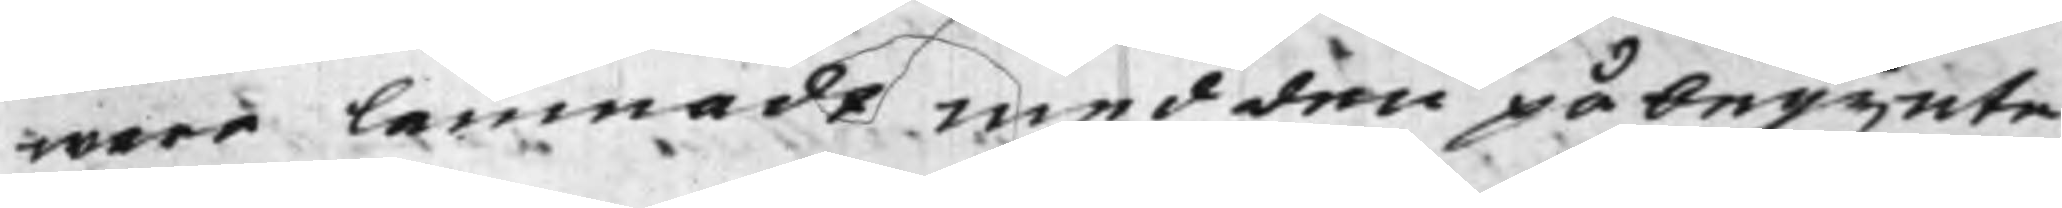ware lemnadt med den påbegynte
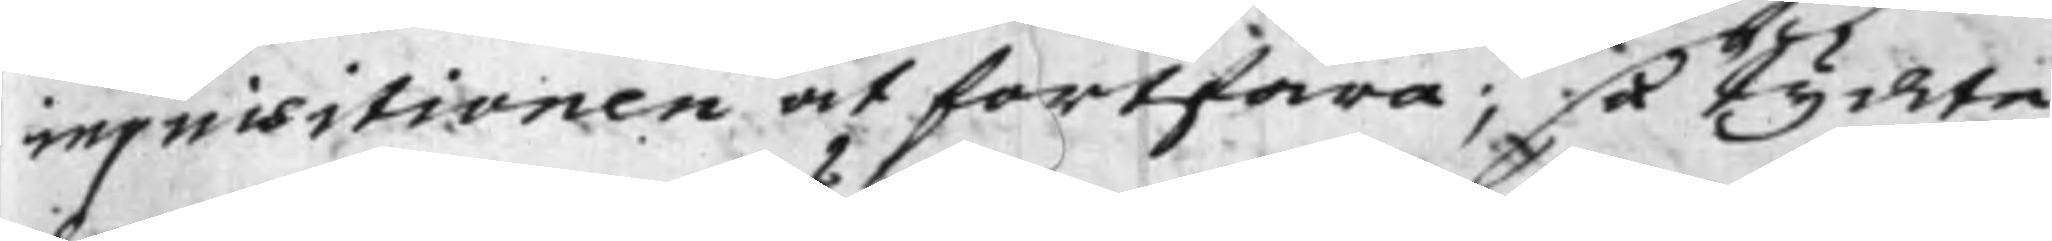inquisitionen at fortfara; så tyckte
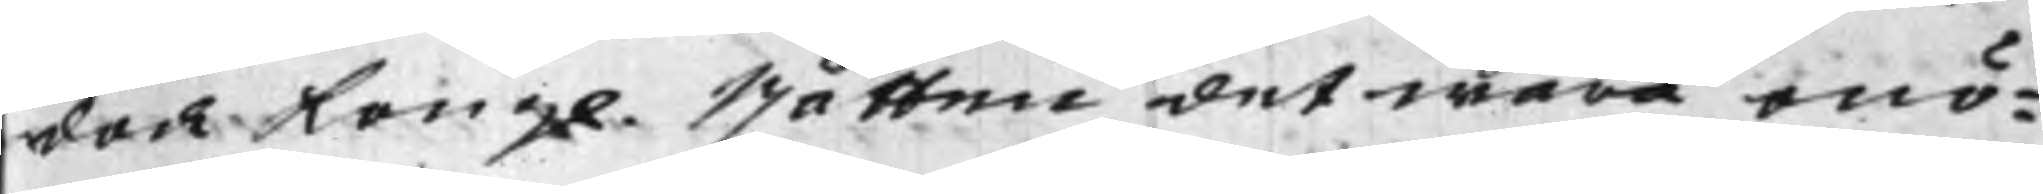dock Kongl. Rätten det wara onö¬
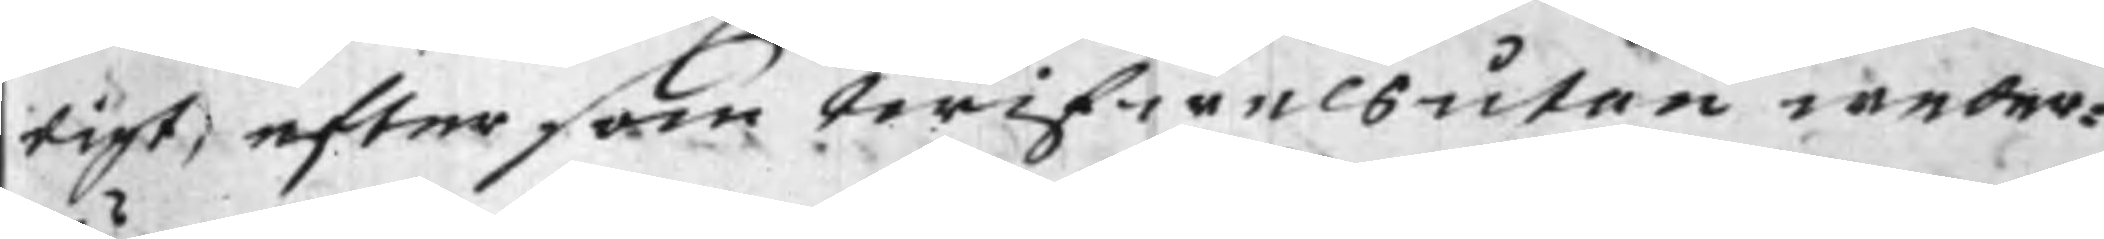tigt, eftersom twifwelsutan weder¬
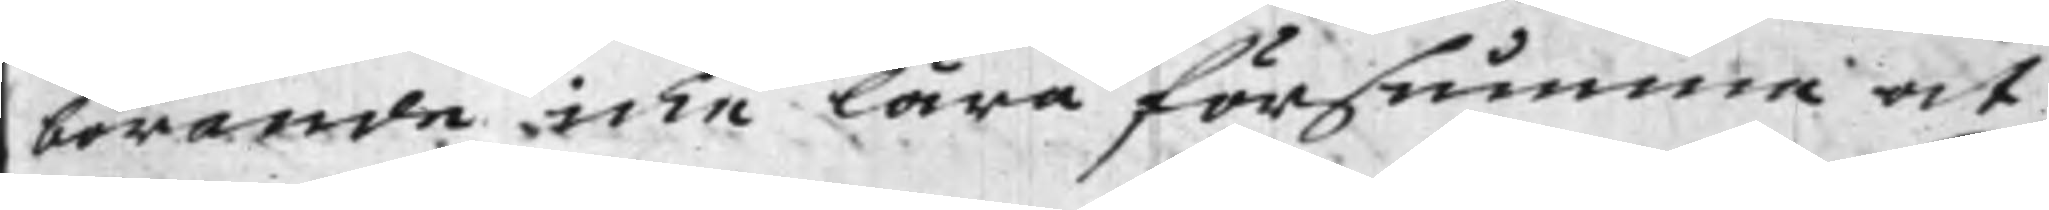börande icke lära försumma at
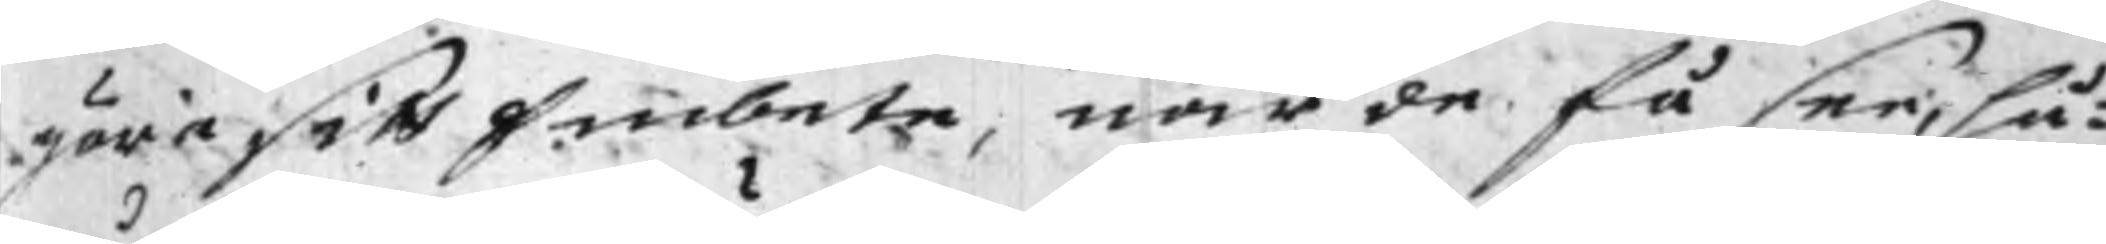göra sitt Embete, när de få see, hu¬
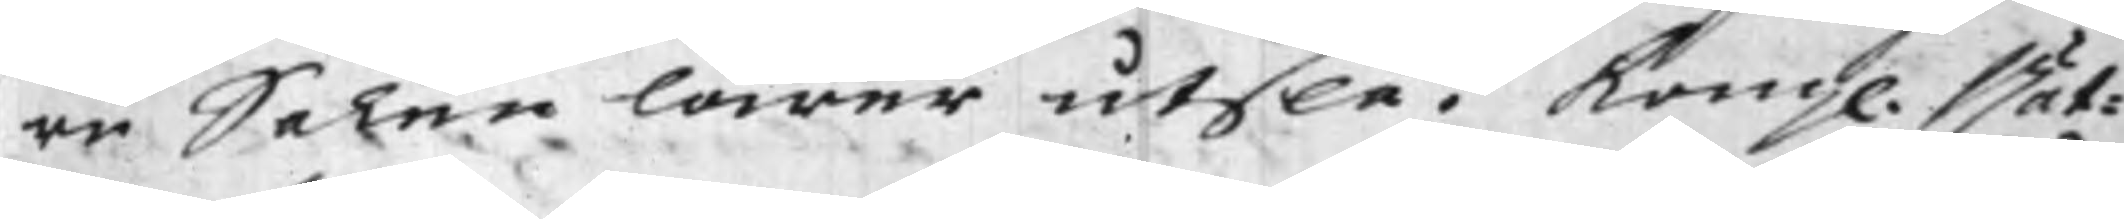ru Saken lärer utslå. Kongl. Rät¬
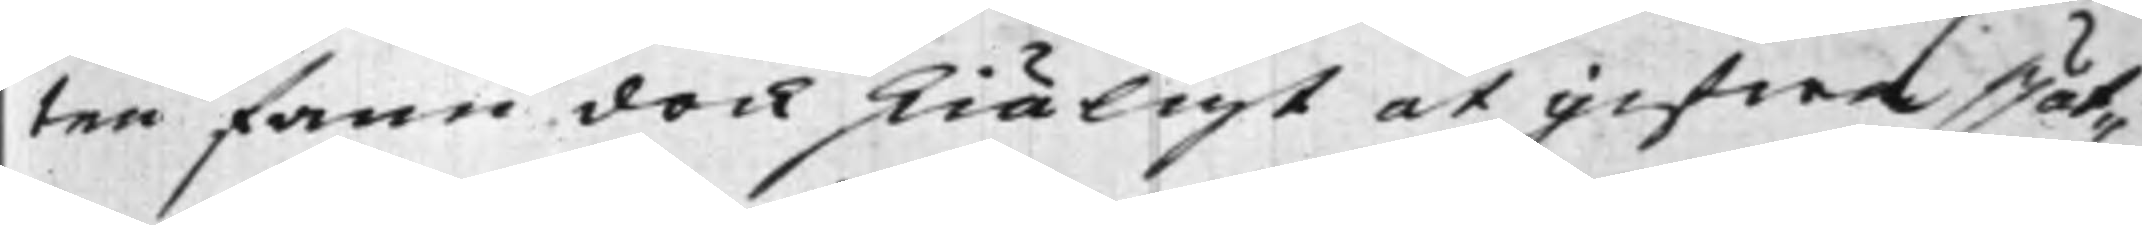ten fann dock skiäligt at gifwa Rät¬
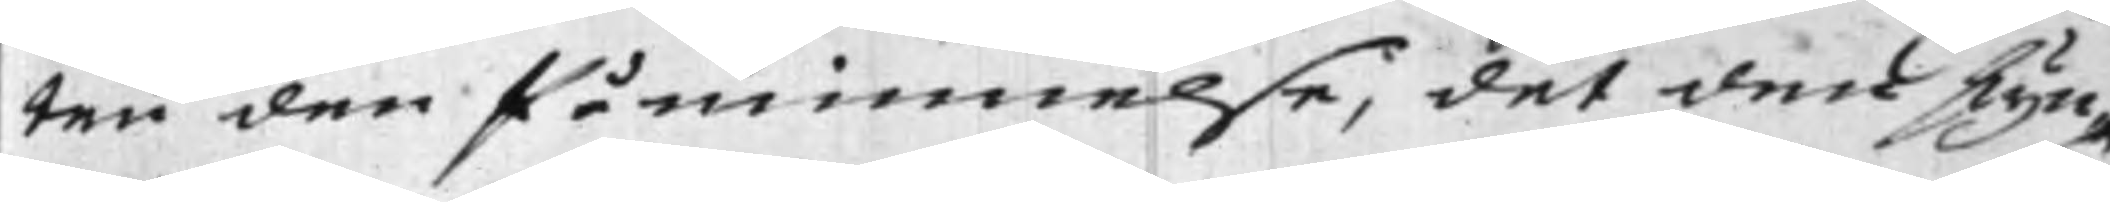ten den Påminnelse, det det skyn¬
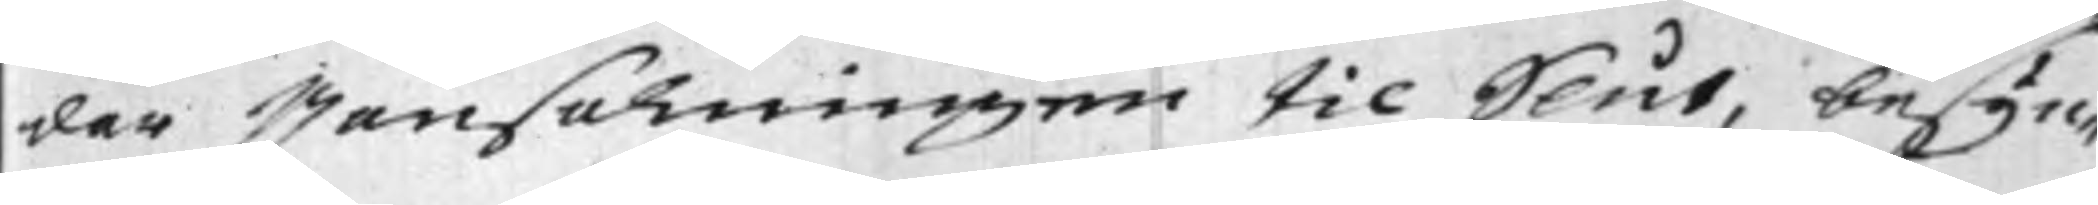dar Ransakningen til Slut, besyn¬
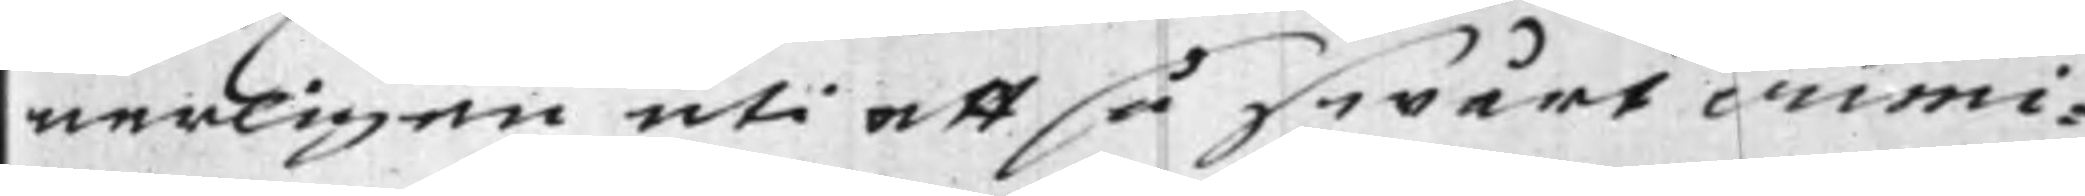nerligen uti ett så swårt crimi¬
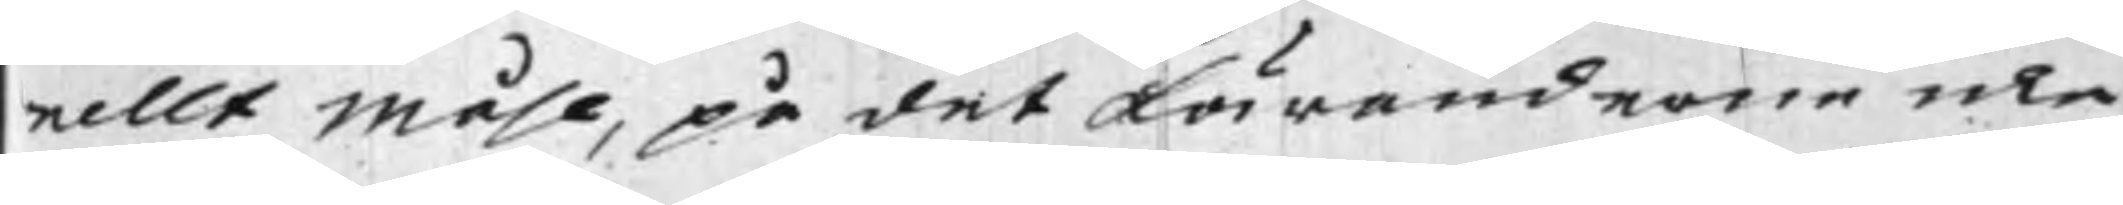nellt Måhl, på det Käranderne icke
